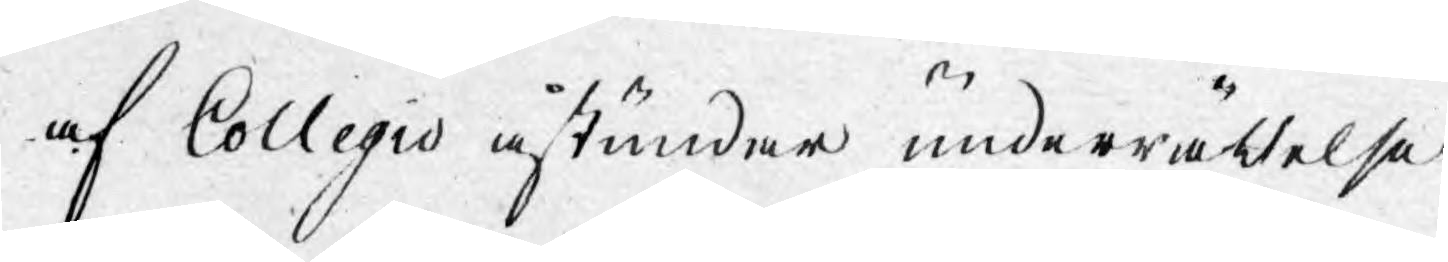af Collegio åstundar underrättelse
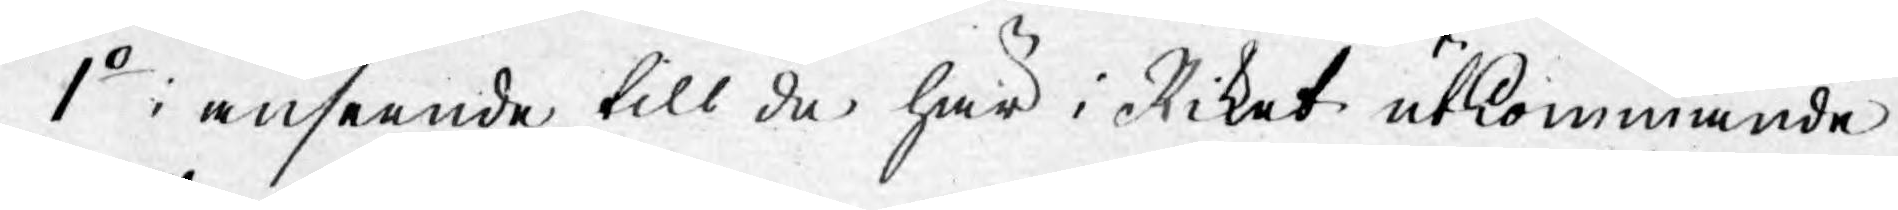1o: i anseende till de här i Riket utkommande
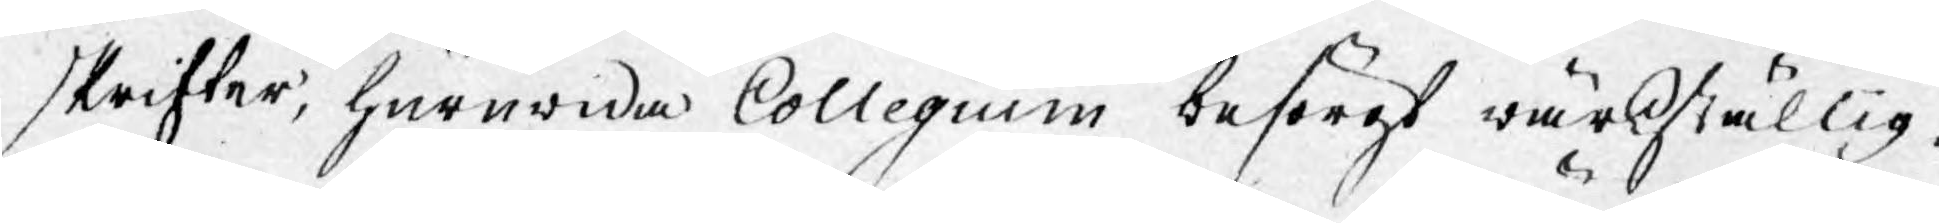skrifter, huruwida Collegium besörgt wärkställig¬
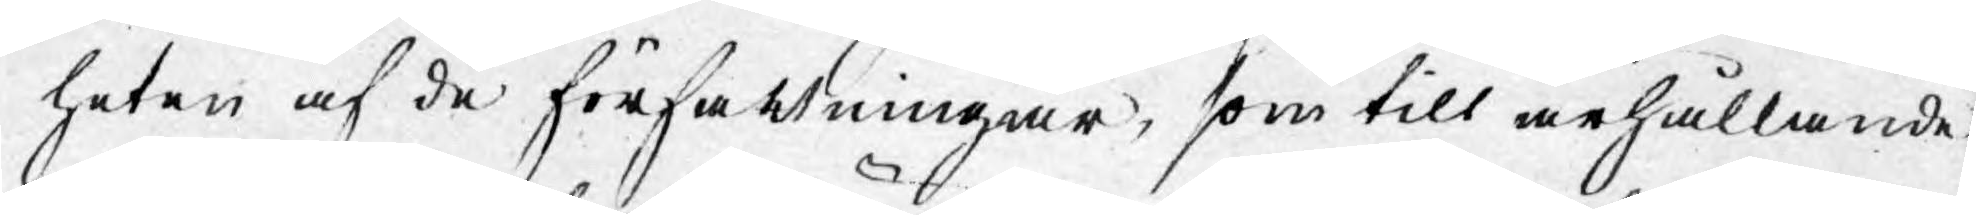heten af de författningar, som till ärhållande
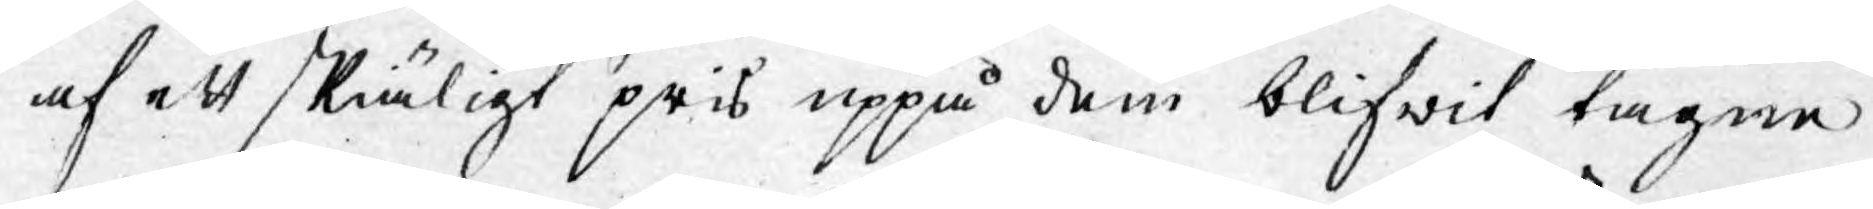af ett skiäligt pris uppå dem blifwit tagne
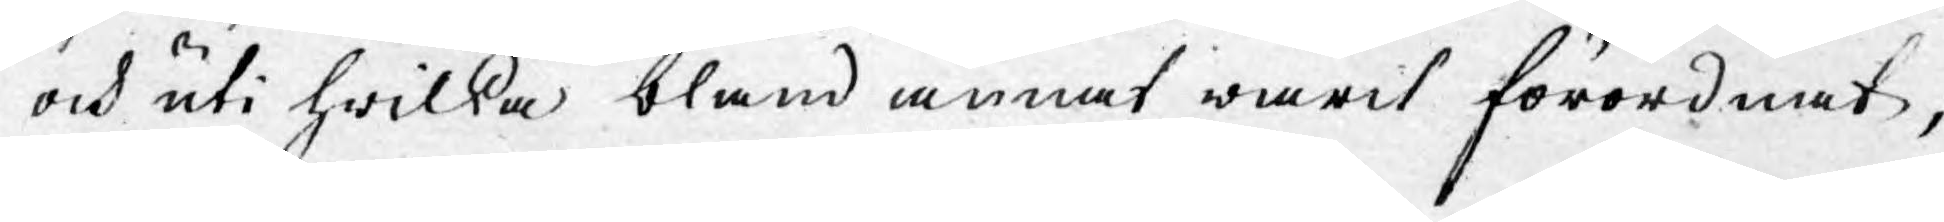och uti hwilka bland annat warit förordnat,
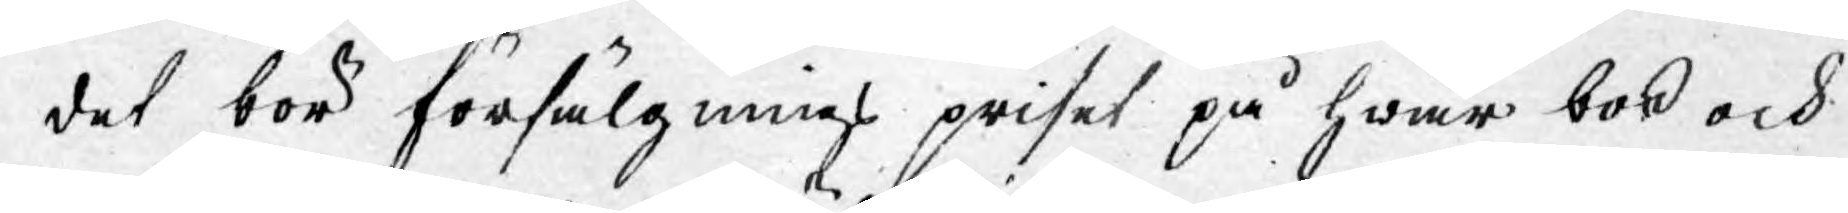det bör försälgnings priset på hwar bok och
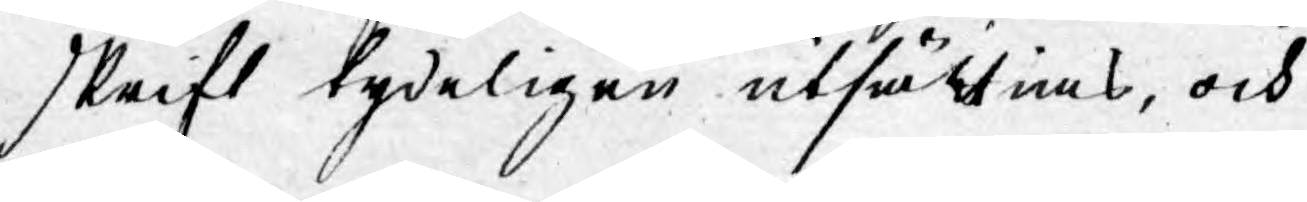skrift tydeligen utsättias, och
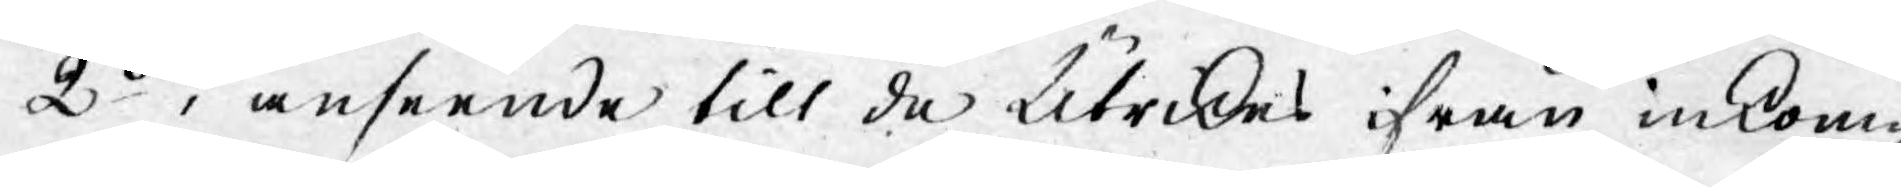2o: i anseende till de Utrikes ifrån inkom¬
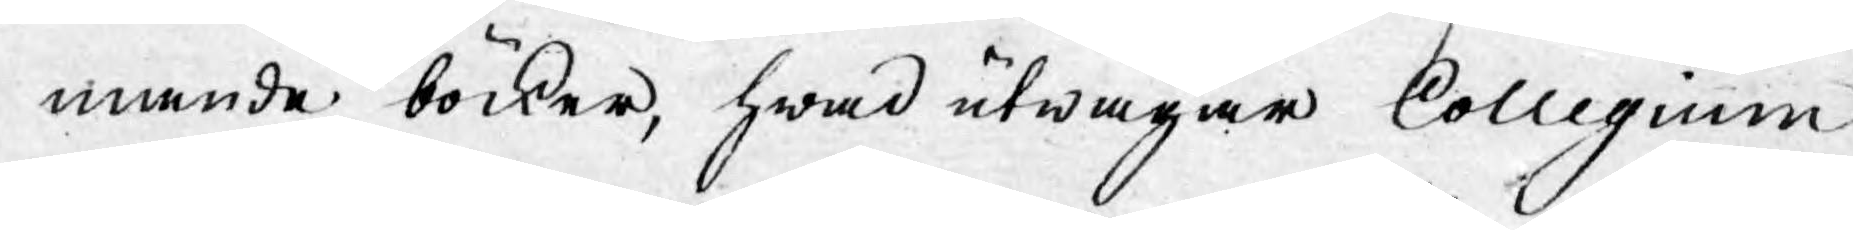mande böcker, hwad utwägar Collegium
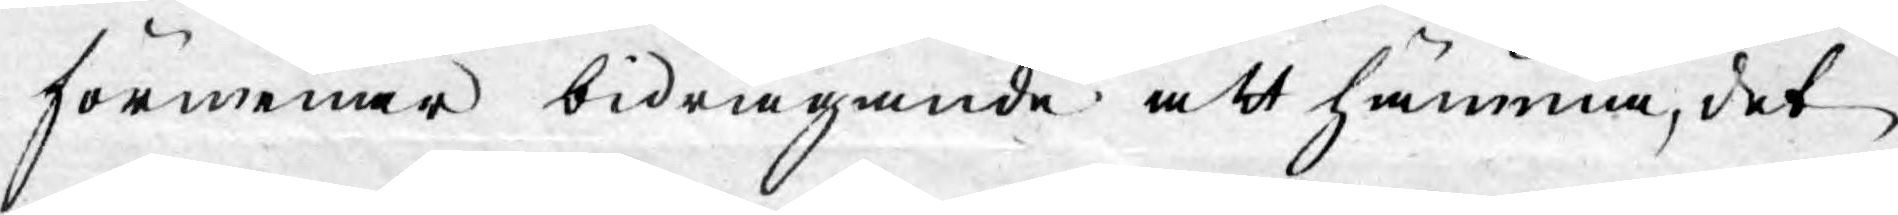förmenar bidragande att hämma, det
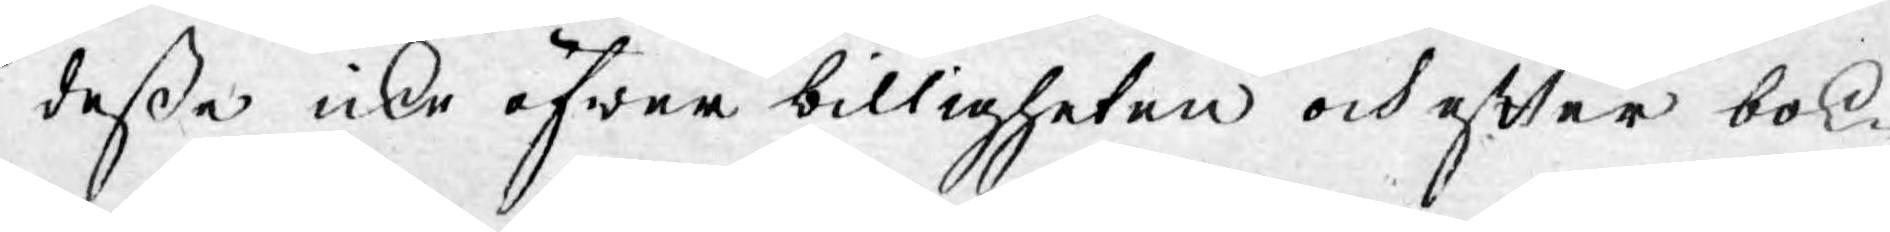dessa icke öfwer billigheten och efter bok¬
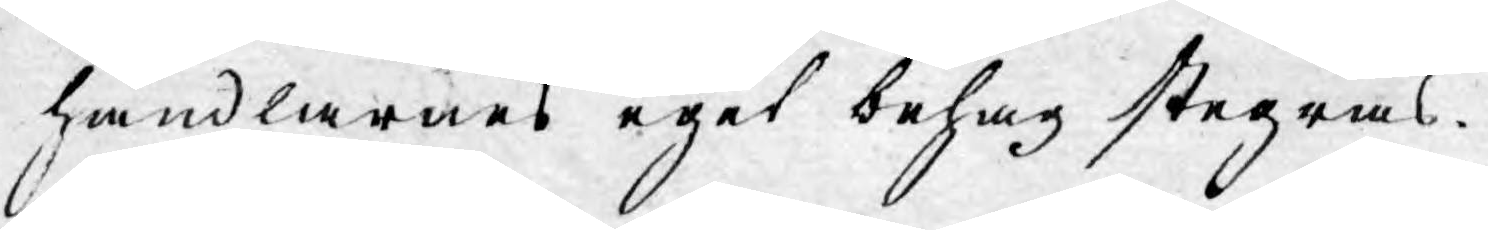handlarnes eget behag stegras.
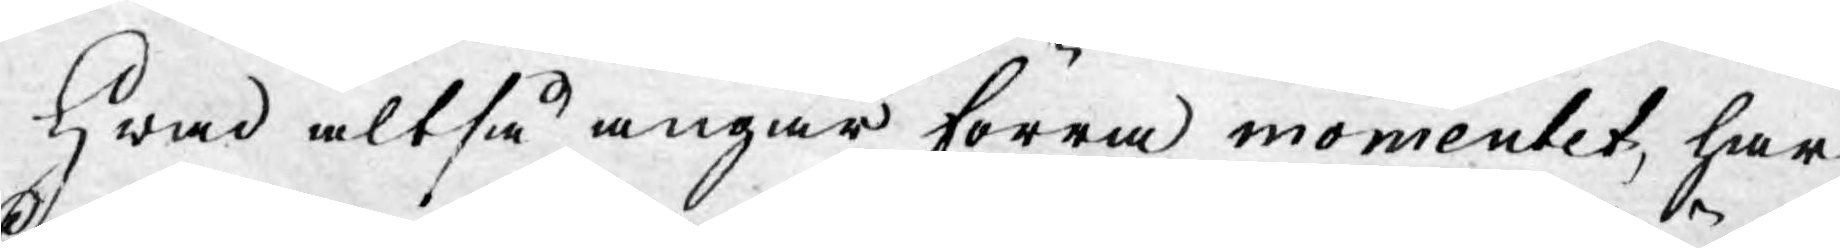Hwad altså angår förra momentet, har
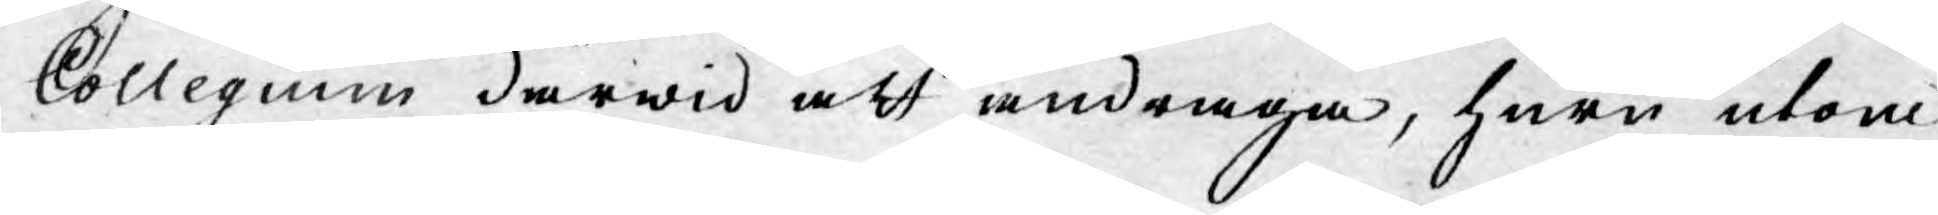Collegium därwid att andraga, huru utom
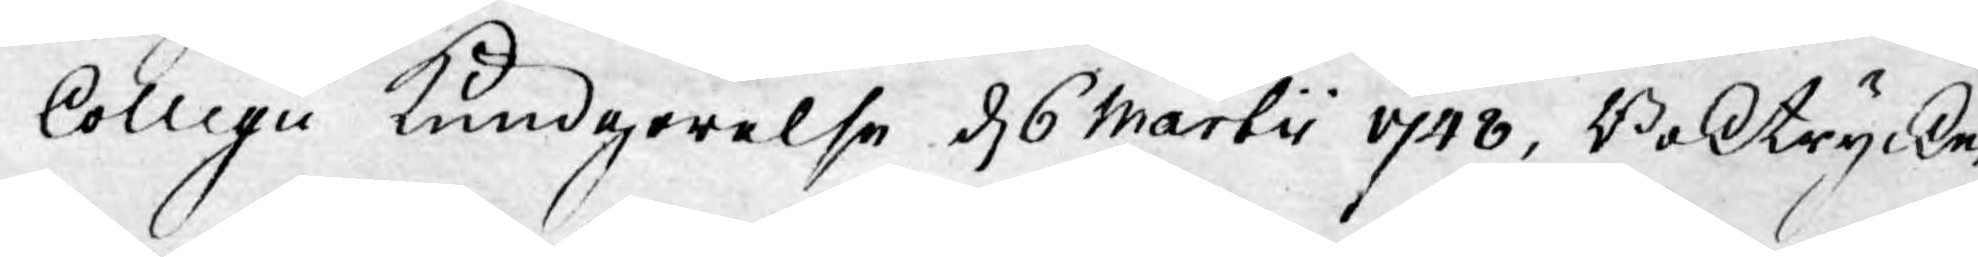Collegii Kundgörelse d. 6 Martii 1748, Boktrycke¬
